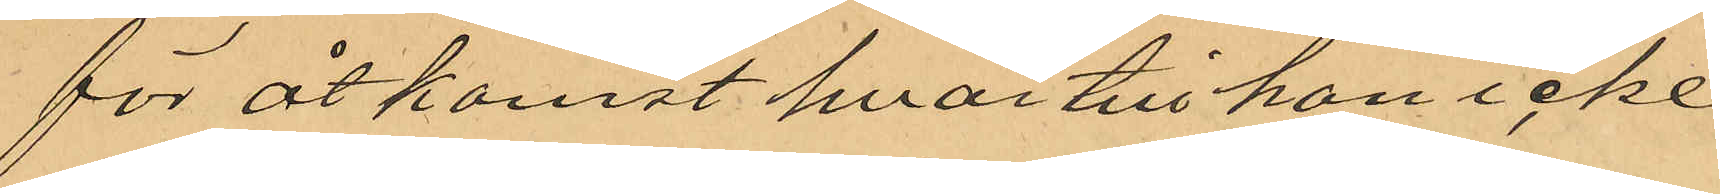för åtkomst hvartill han icke
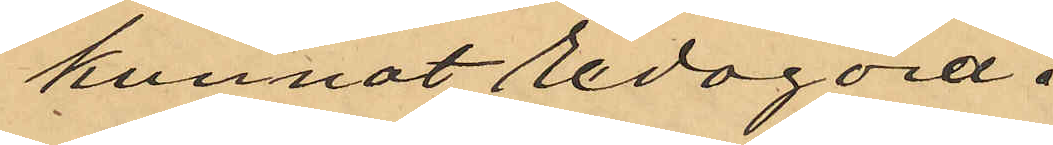kunnat redogöra.
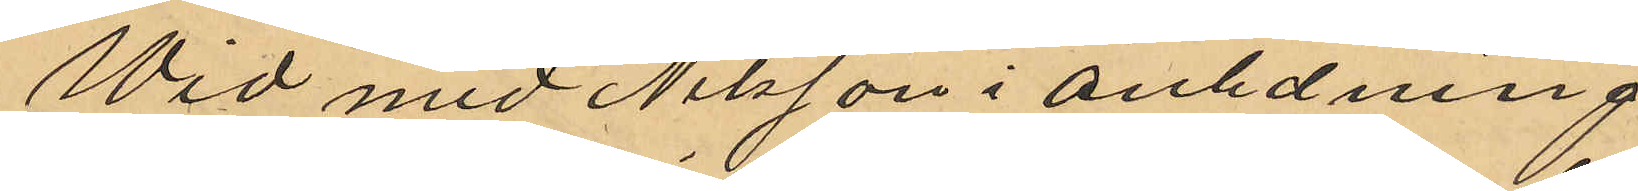Wid med Nilsson i anledning
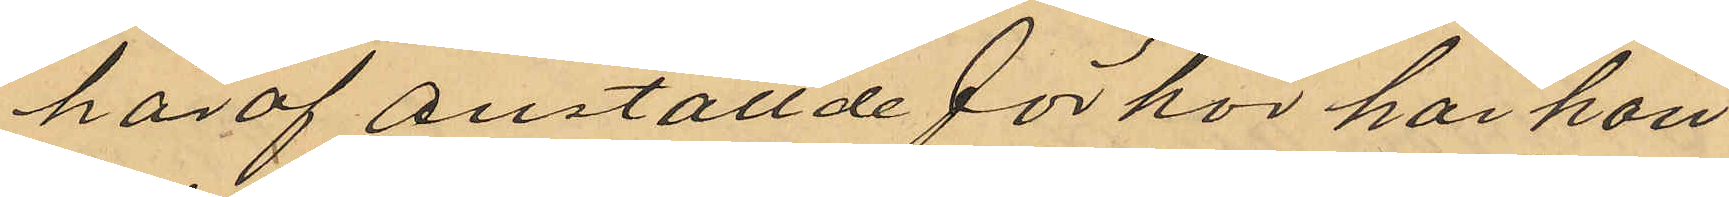häraf anställde förhör har han
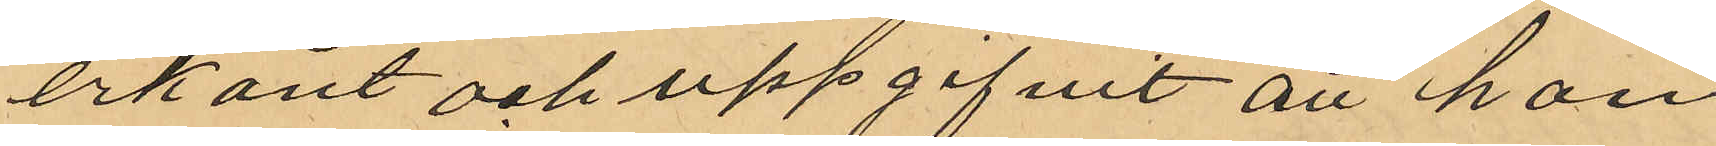erkänt och uppgifvit att han
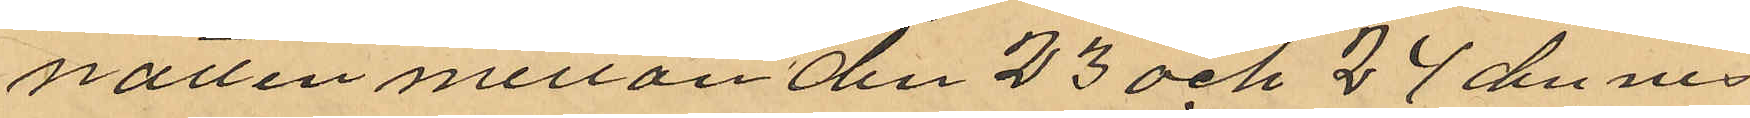natten mellan den 23 och 24 dennes
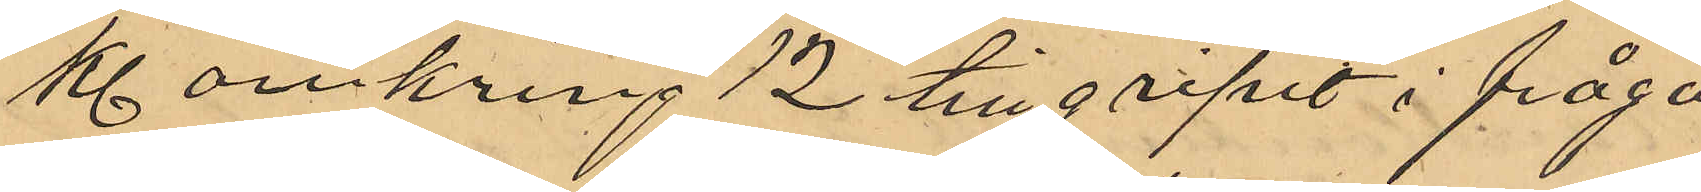kl omkring 12 tillgripit i fråga
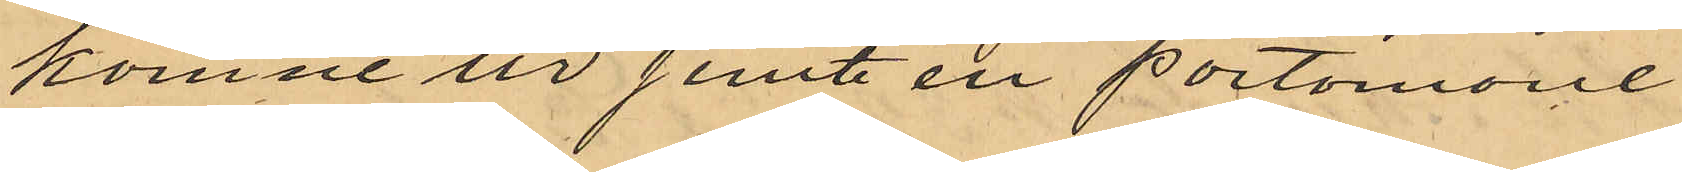komne ur jemte en portomone
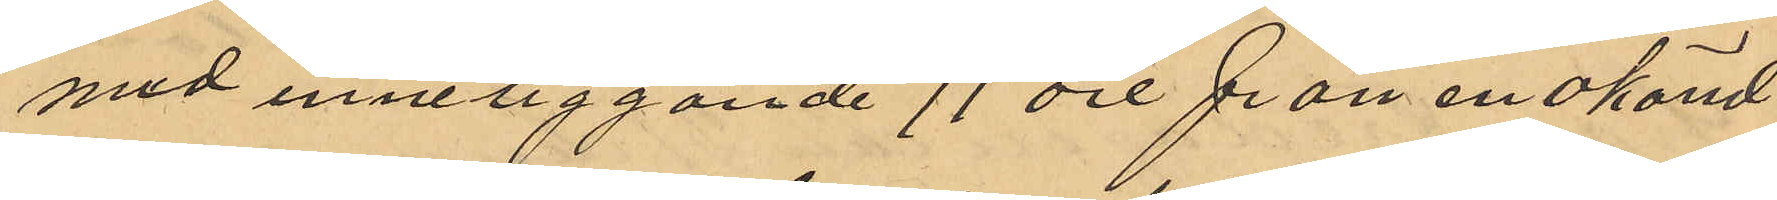med inneliggande 71 öre från en okänd
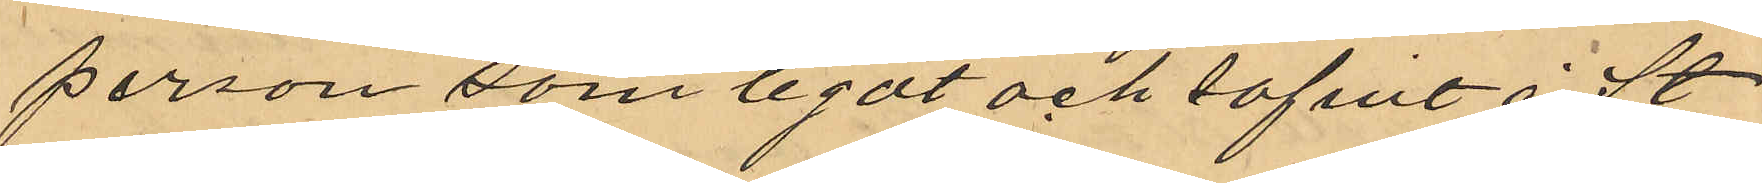person som legat och sofvit å St
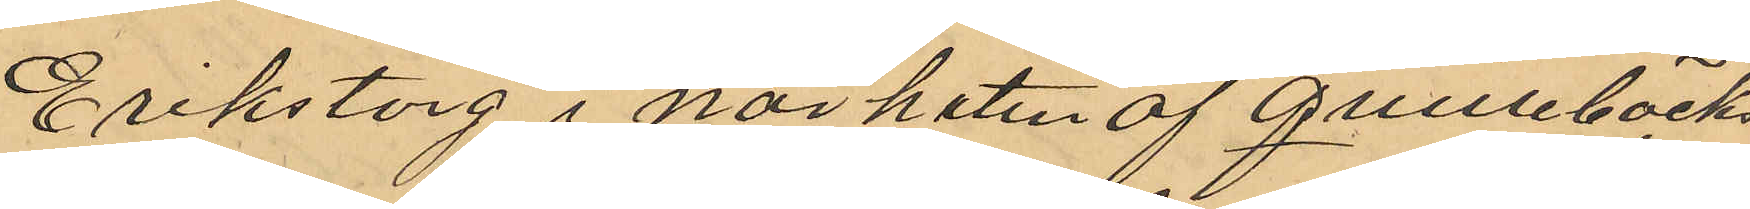Erikstorg i närheten af Quillebäcks¬
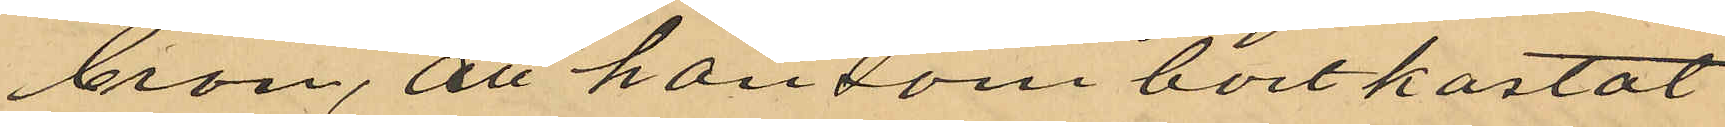bron, att han som bortkastat
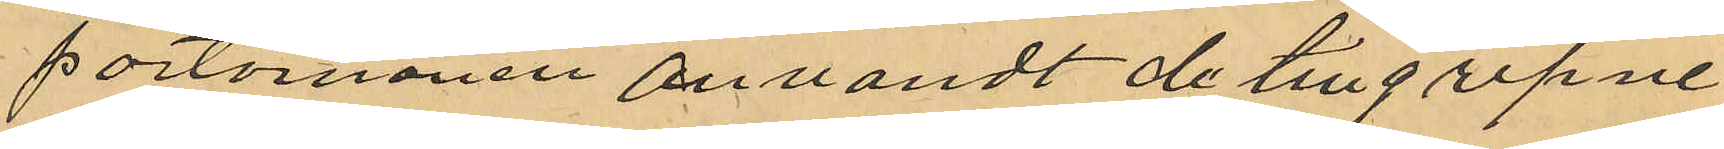portmonen användt de tillgripne
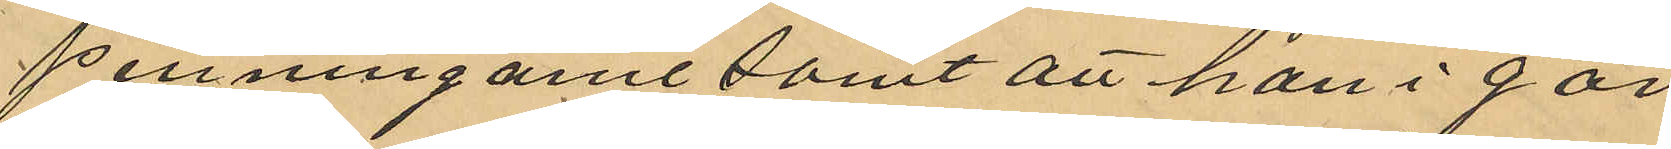penningarne samt att han i går
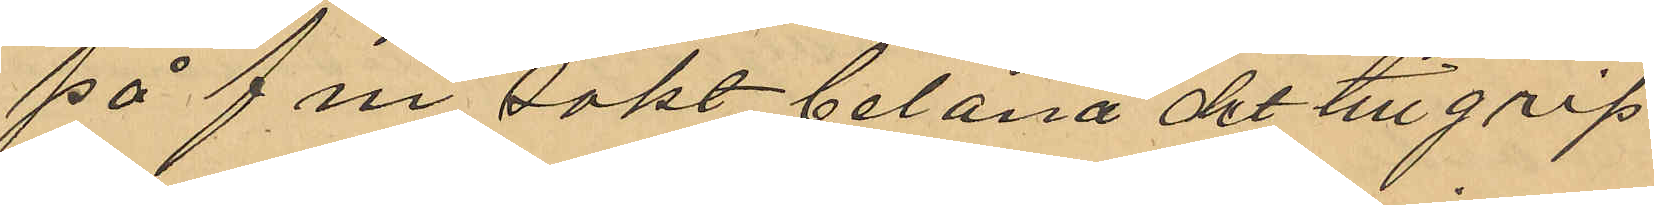på f.m. sökt belåna det tillgrep¬
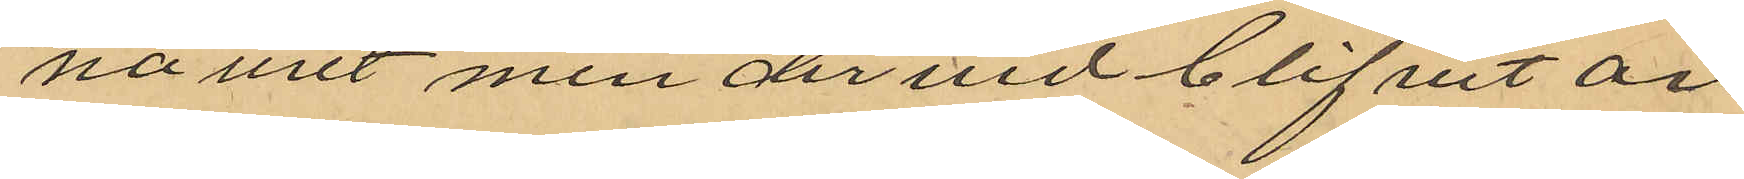na uret men dervid blifvit an¬
